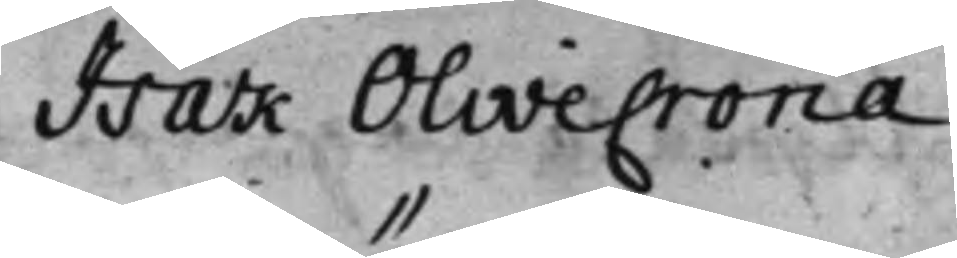Isak Olivecrona
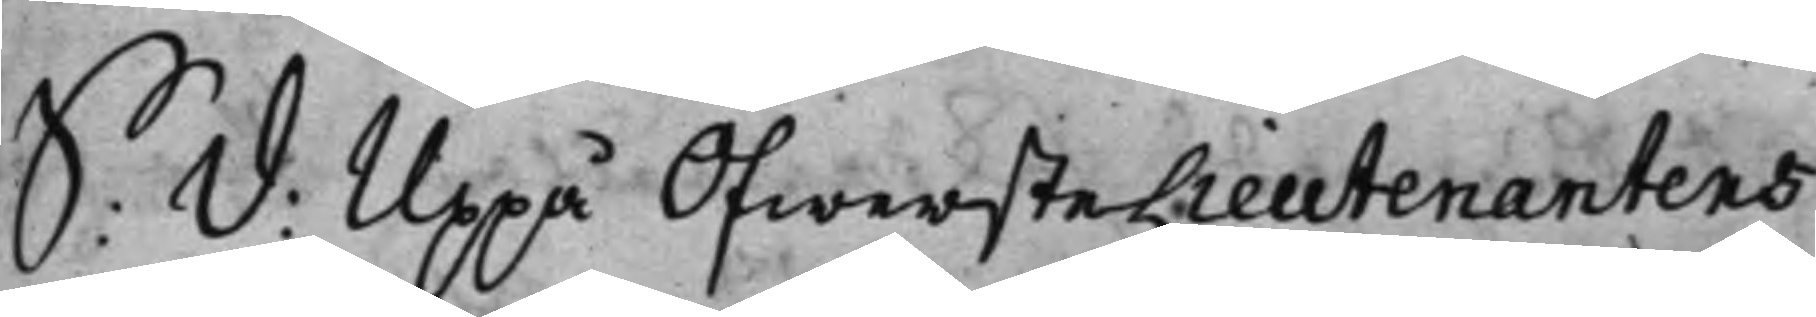S: D: Uppå ÖfwersteLieutenantens
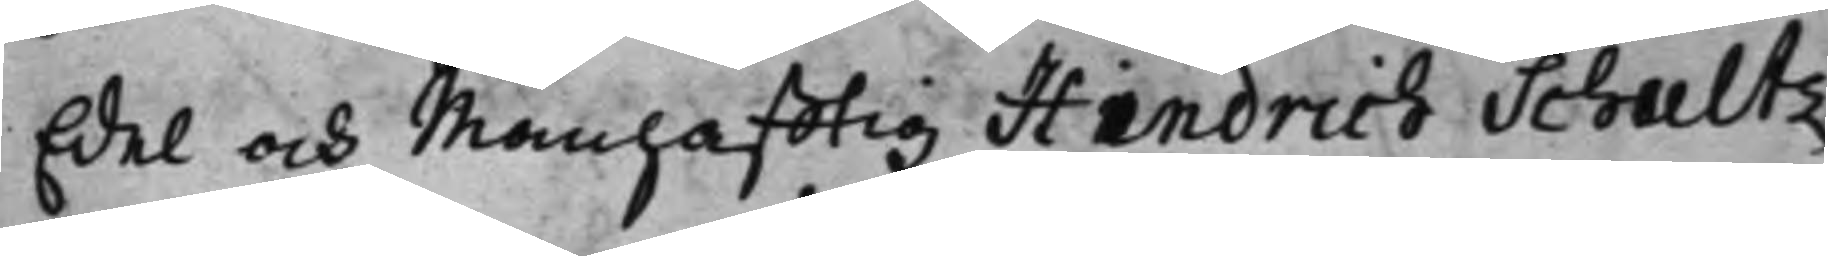Edel och Manhafftig Hindrich Schultz
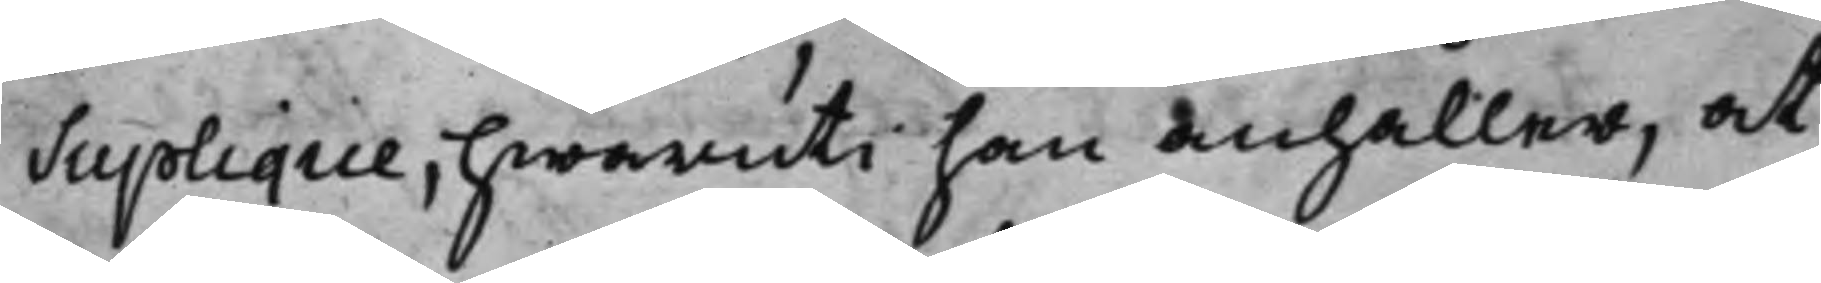Suplique, hwaruti han anhåller, at
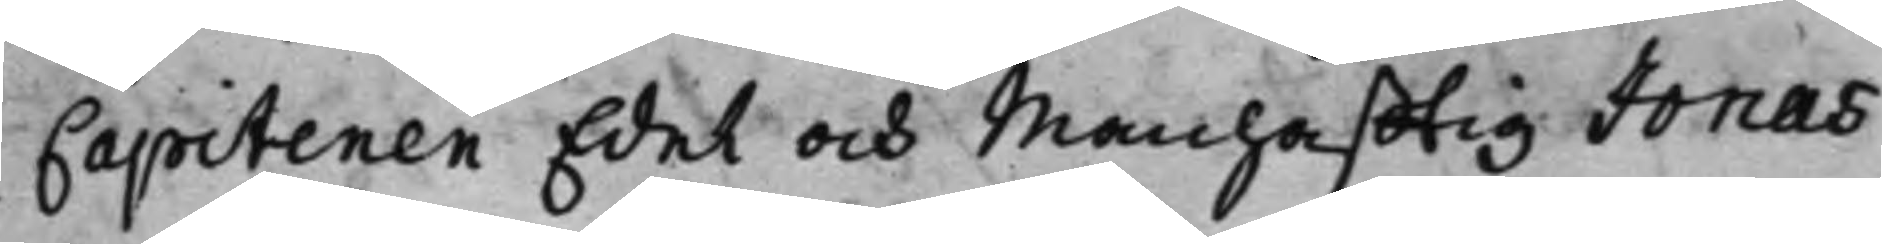Capitenen Edel och Manhafftig Jonas
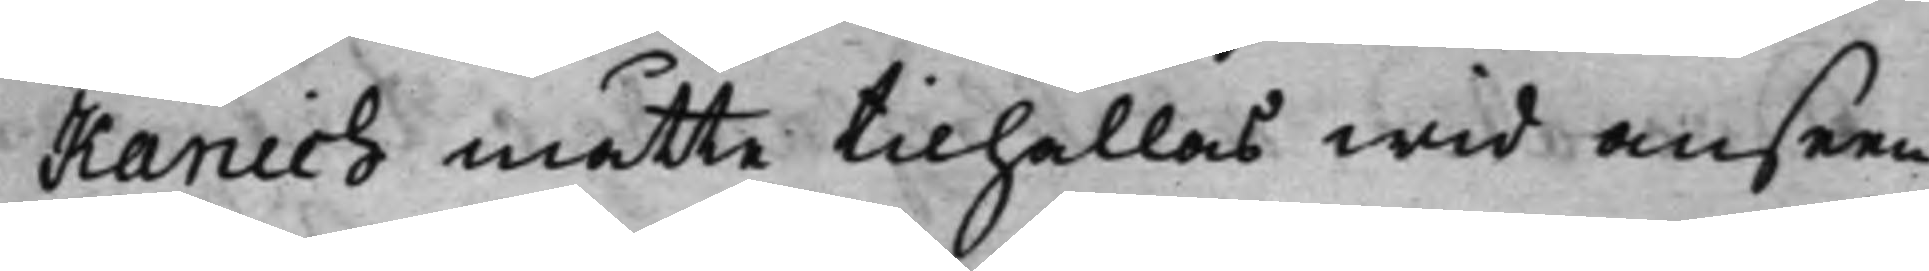Kanich måtte tilhållas wid anseen¬
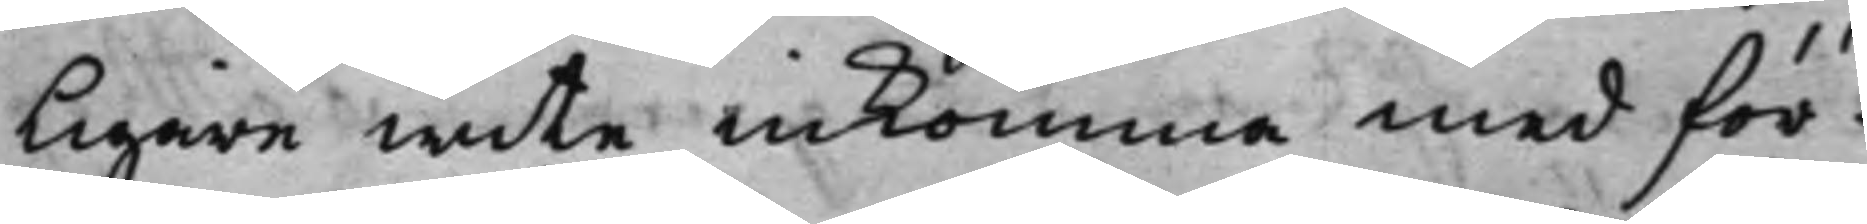ligare wite inkomma med för¬
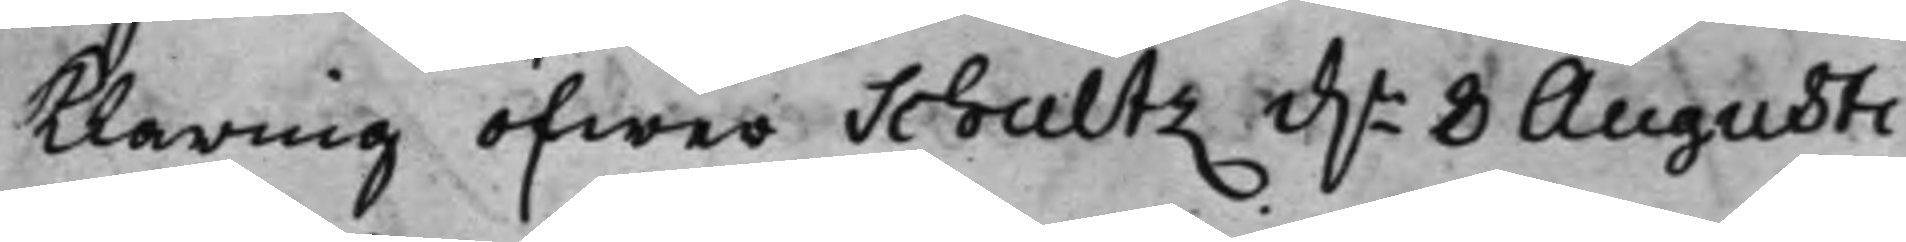klaring öfwer Schultz d.n 8 Augusti
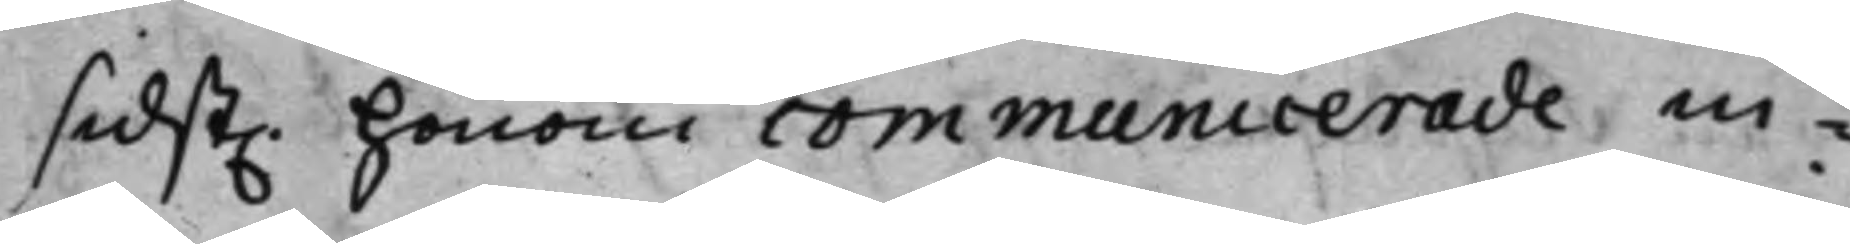sidst. honom communicerade in¬
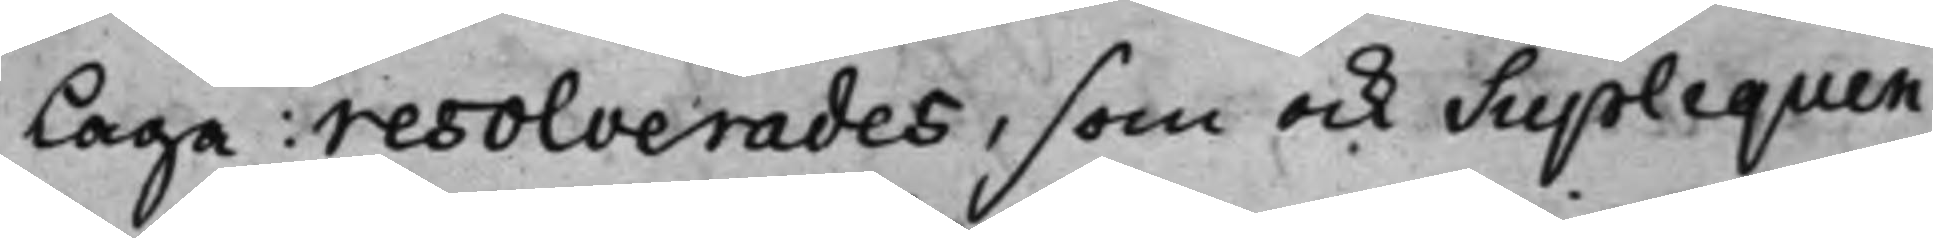laga: resolverades, som ock Supliquen
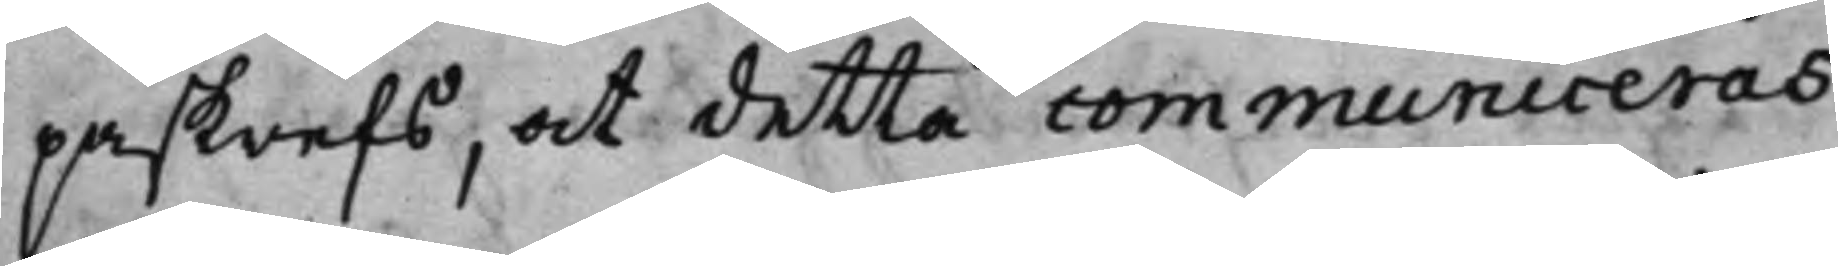påskrefs, at detta communiceras
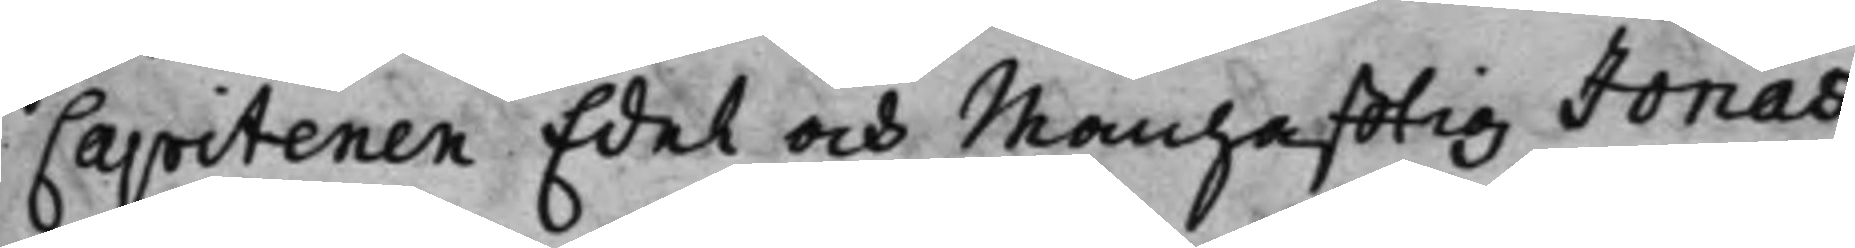Capitenen Edel och Manhafftig Jonas
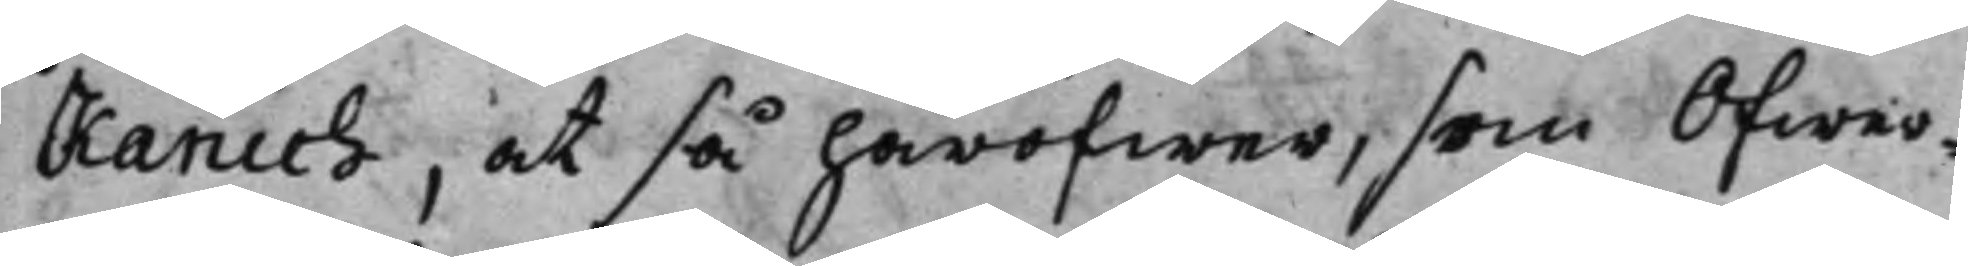Kanich, at så häröfwer, som Öfwer¬
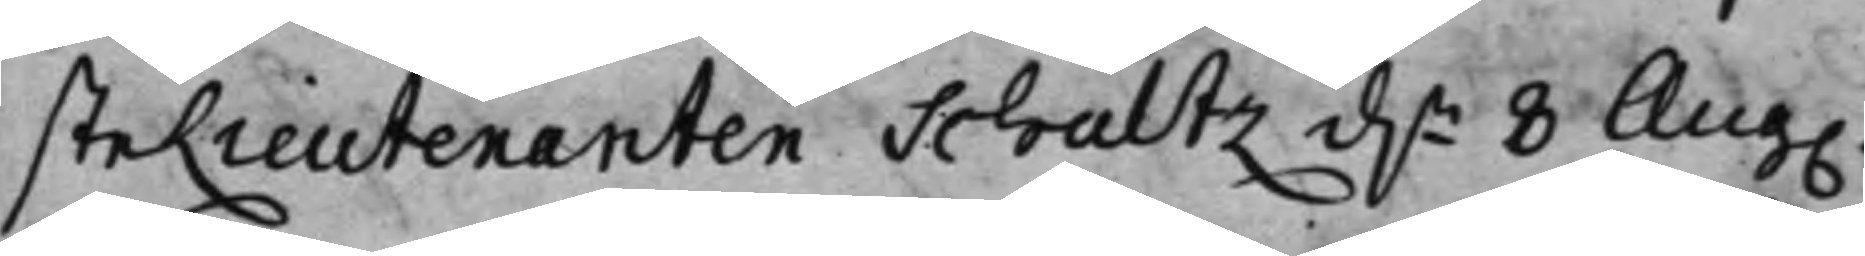steLieutenanten Schultz d.n 8 Aug.
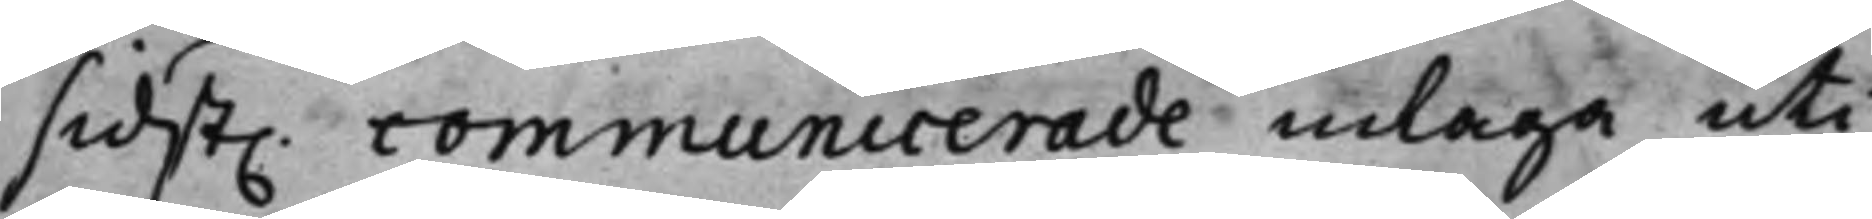sidst. communicerade inlaga uti
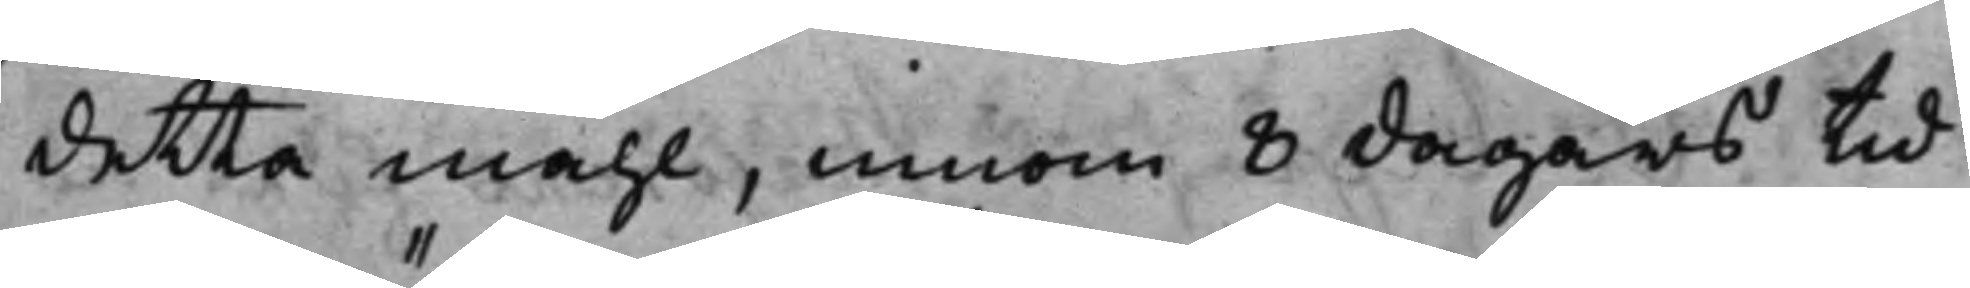detta måhl, innom 8 dagars tid
